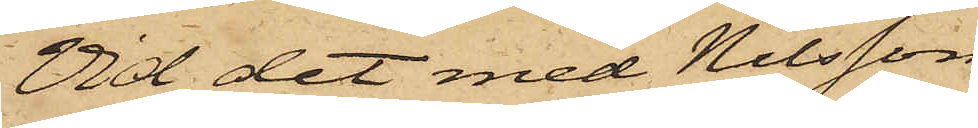Vid det med Nilsson
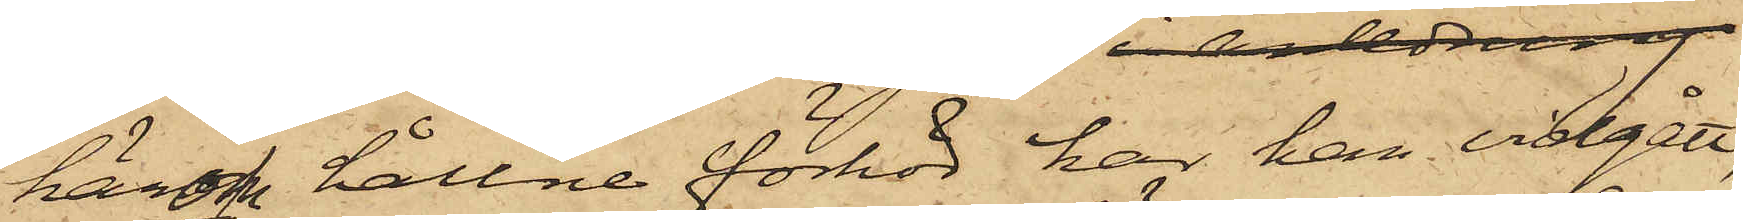härom hållne förhör har han vidgått,
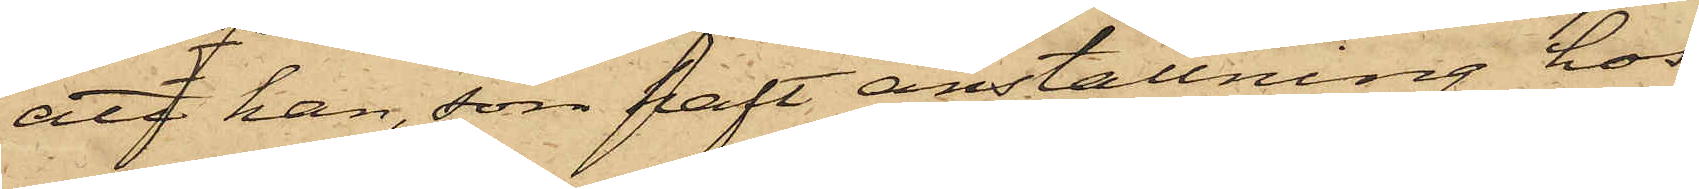att han, som haft anställning hos
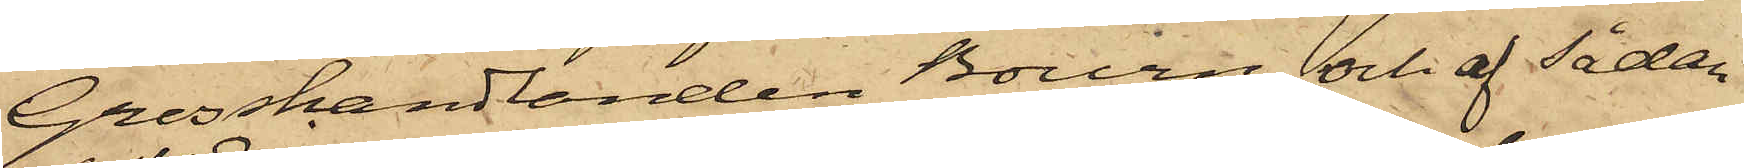Grosshandlanden Bourn och af sådan
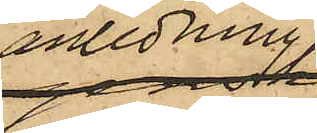anledning
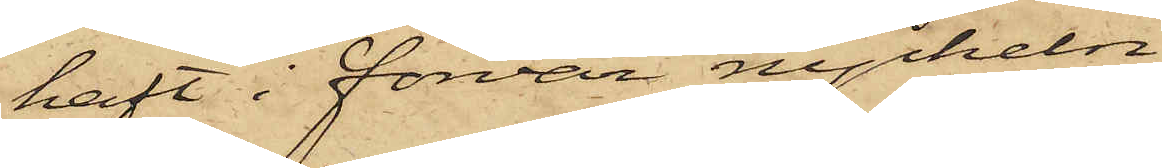haft i förvar nyckeln
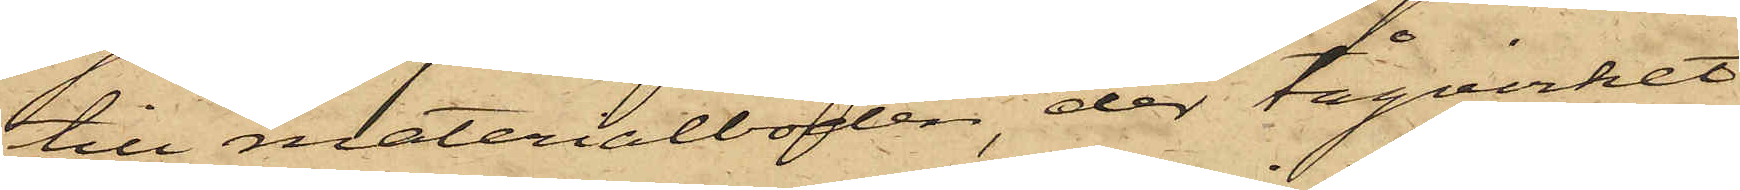till materialboden, der tågvirket
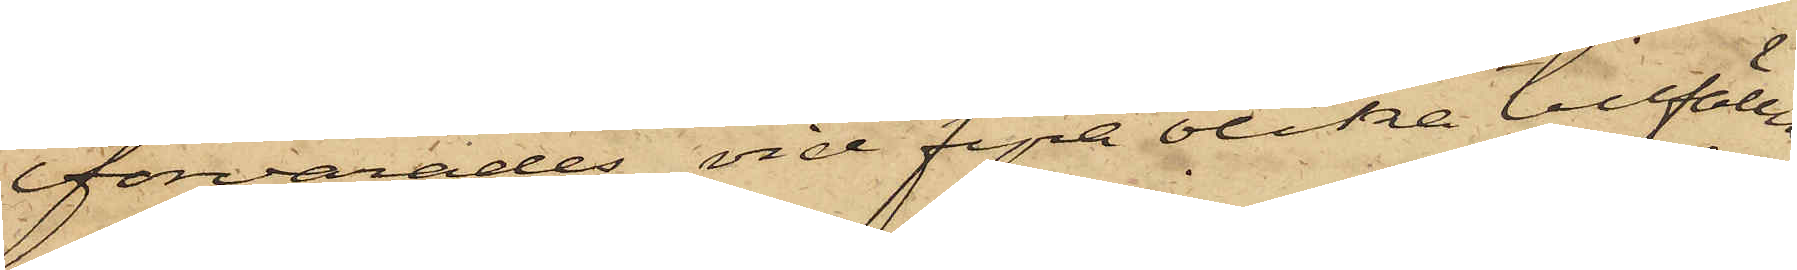förvarades, vid fyra olika tillfällen
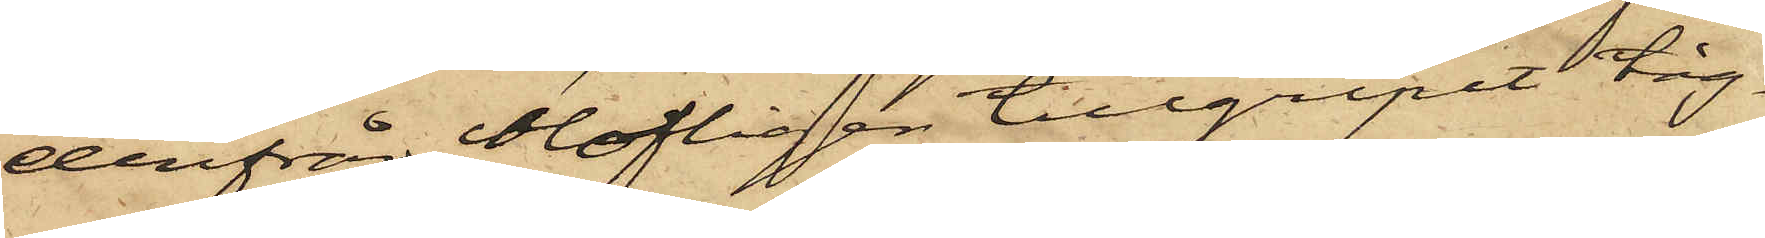derifrån olofligen tillgripit tåg¬
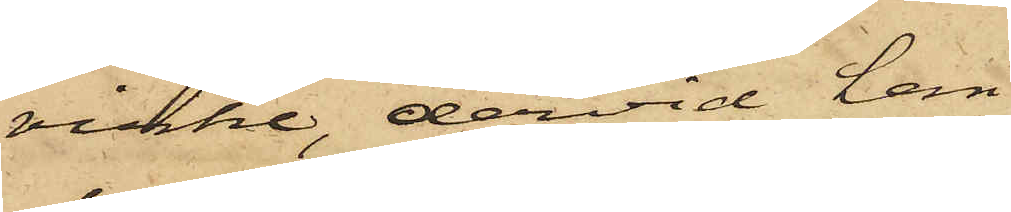virke, dervid han
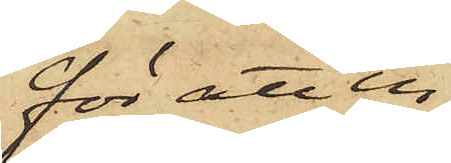för att in¬
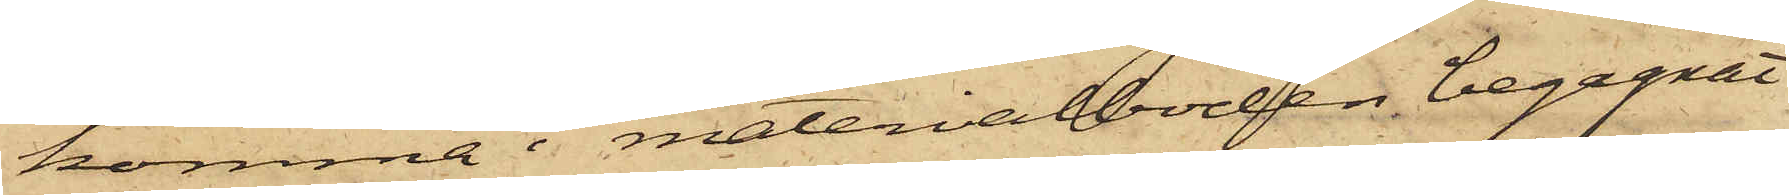komma i materialboden begagnat
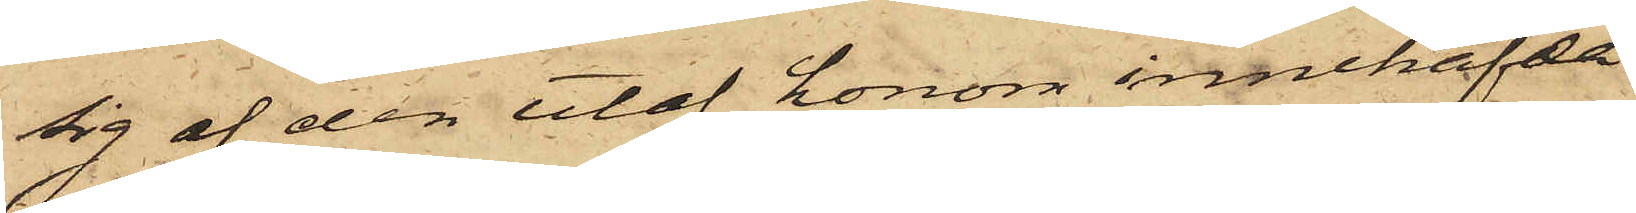sig af den utaf honom innehafda
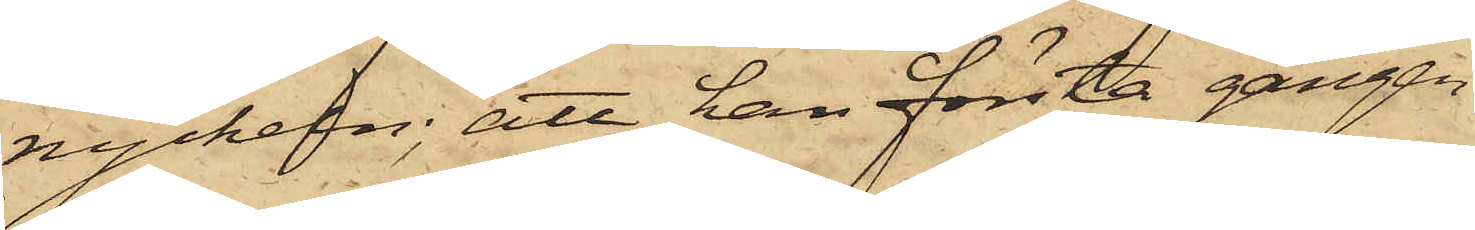nyckeln; att han första gången
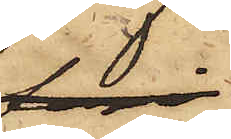ngn dag
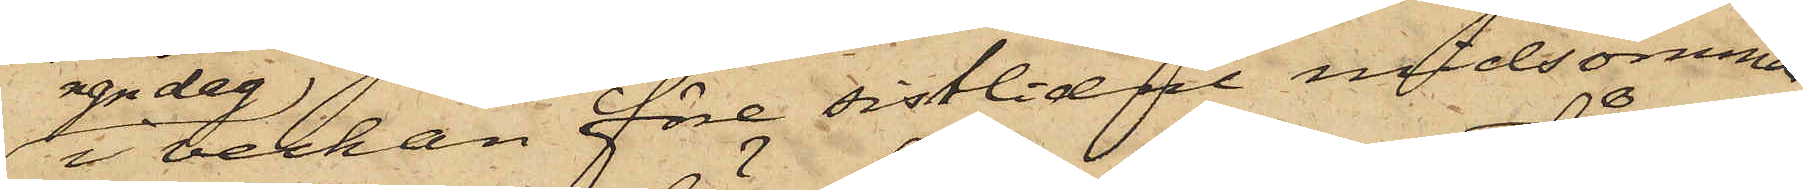i veckan före sistlidne med midsommar
